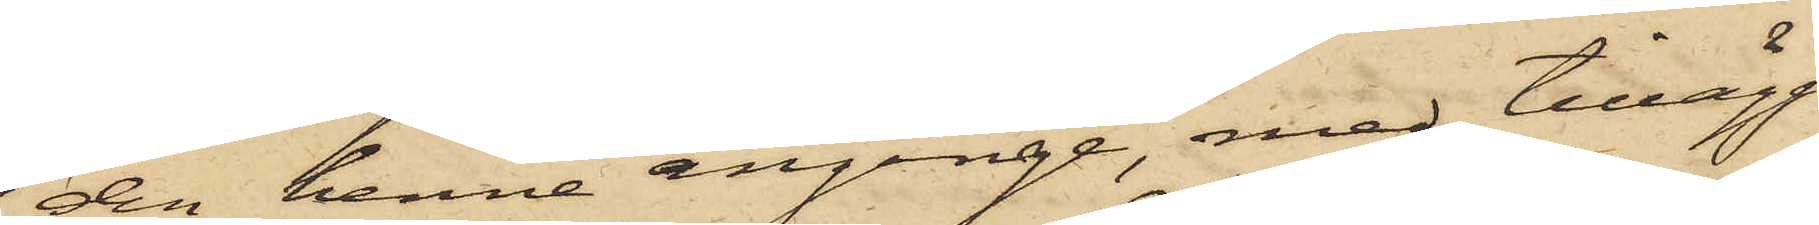den henne anginge, med tillägg
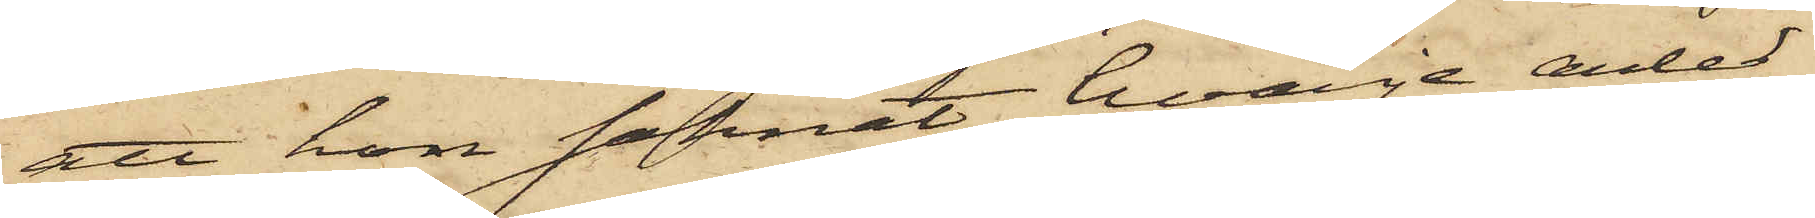att hon saknat hvarje anled¬
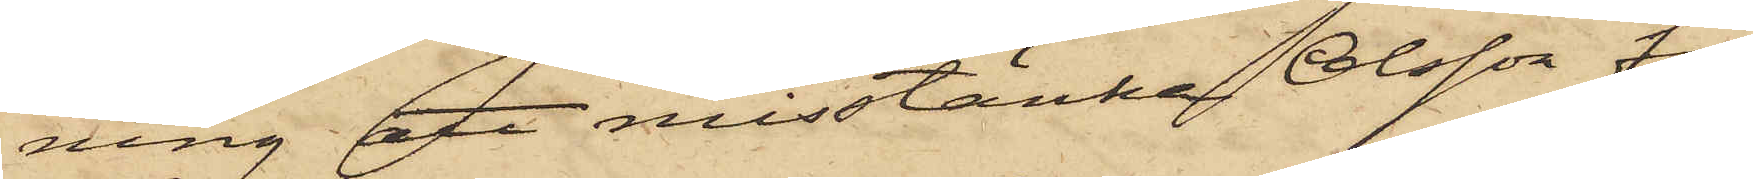ning att misstänka Olsson för
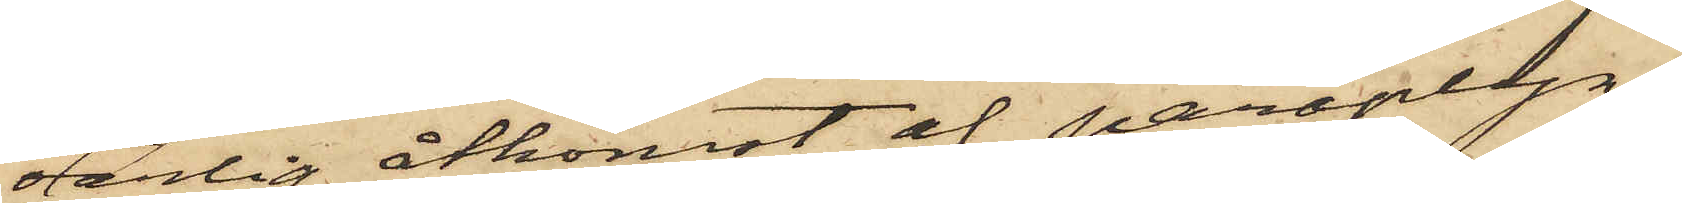oärlig åtkomst af paraplyn.
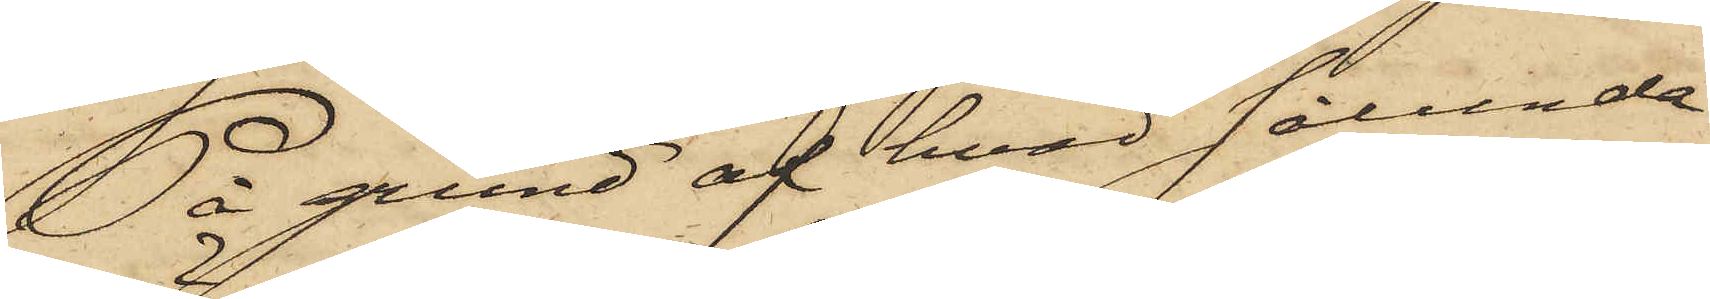På grund af hvad sålunda
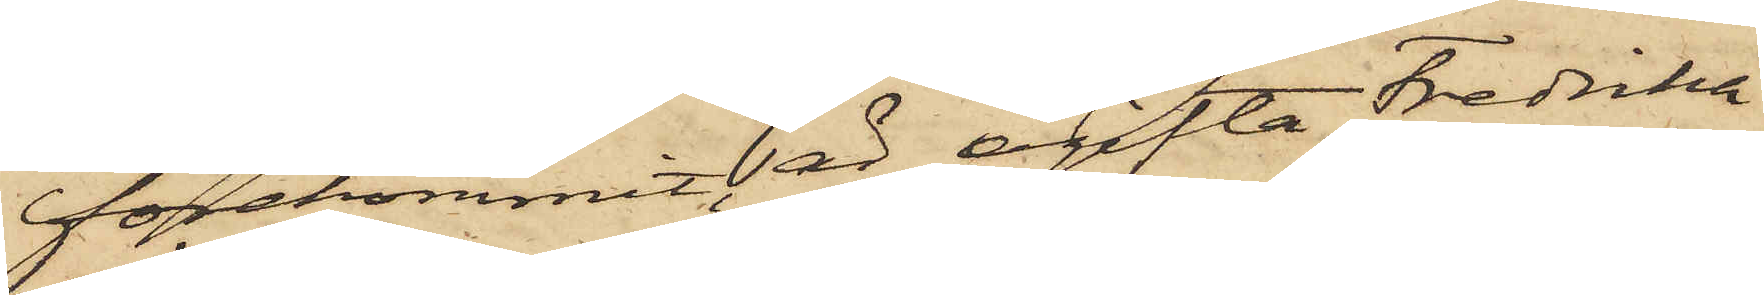förekommit, är ogifta Fredrika
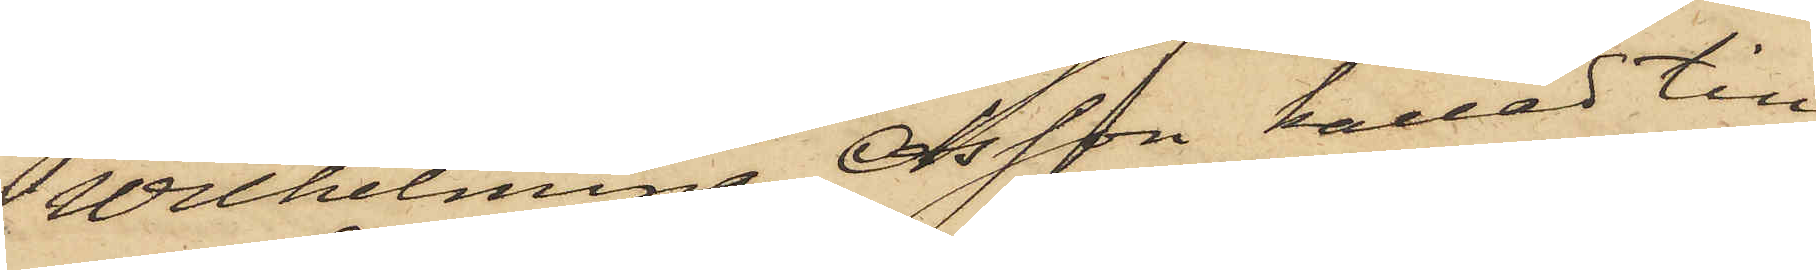Wilhelmina Olsson kallad till
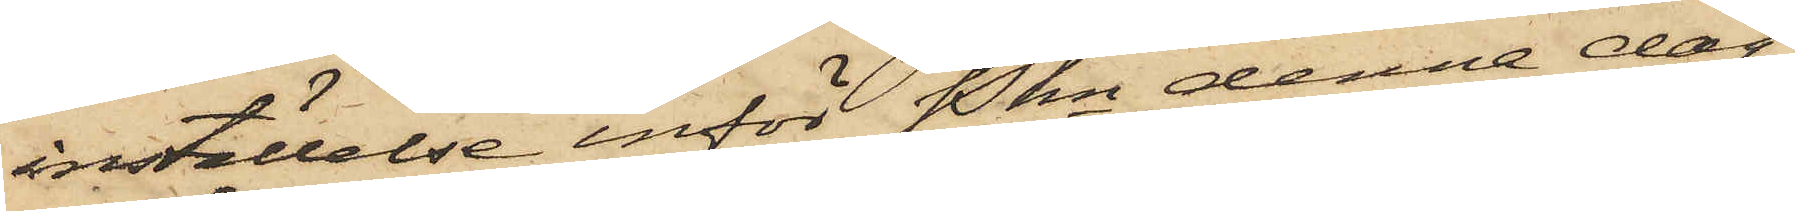inställelse inför Pkn denna dag.
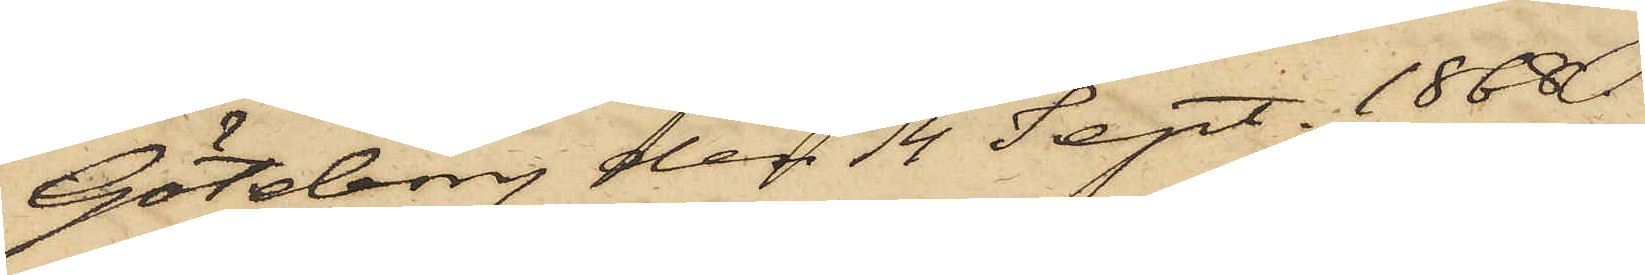Göteborg den 14 Sept. 1868.
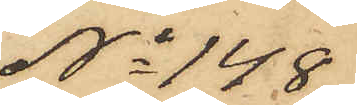No 148
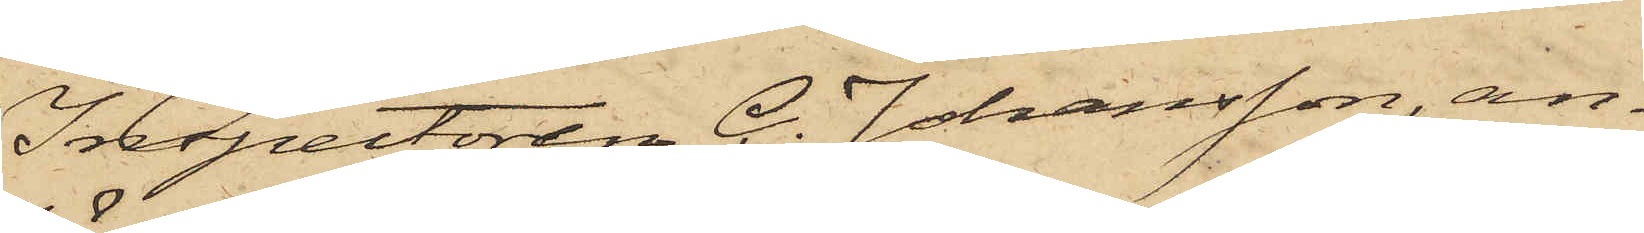Inspectoren C. Johansson, an¬
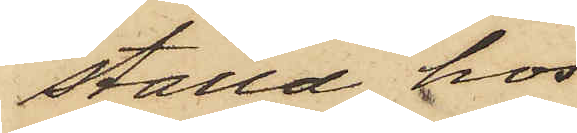ställd hos
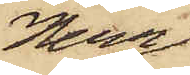Herr
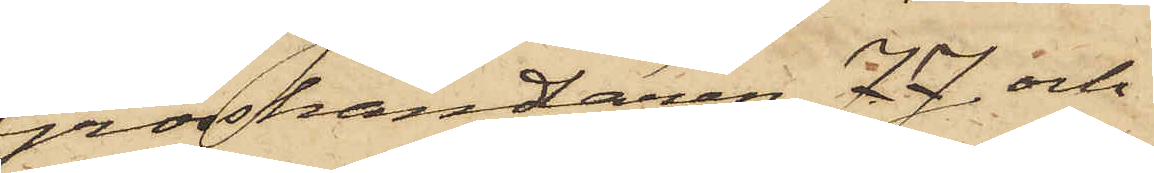Grosshandaren J. J. och
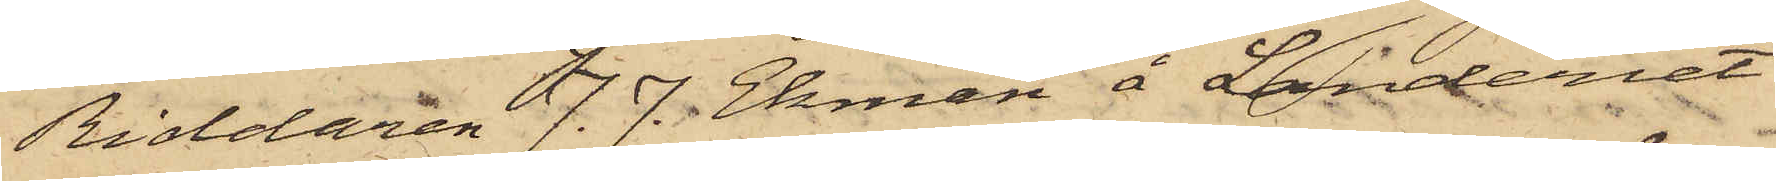Riddaren J. J. Ekman å Landeriet
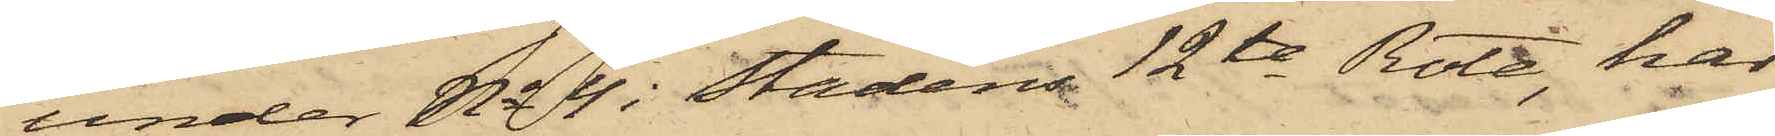under No 4 i stadens 12te Rote, har
